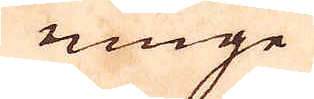ninge
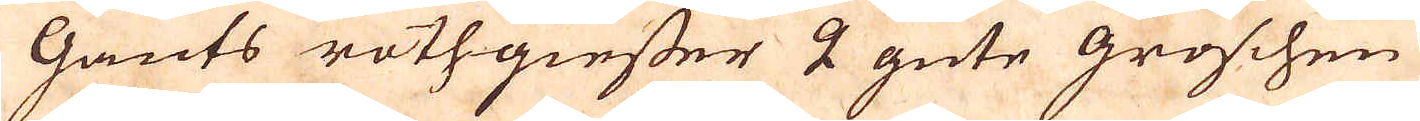Gants rothgiesser 2 gute groschen
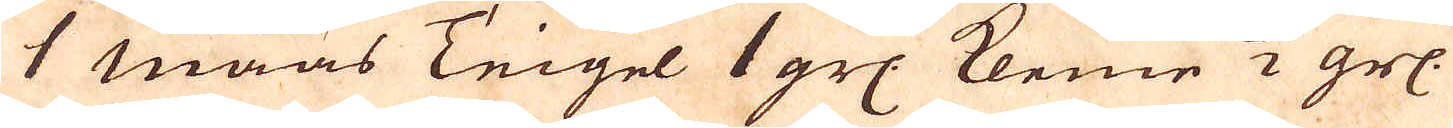1 Maas Teigel 1 grs. Kleine 2 grs.
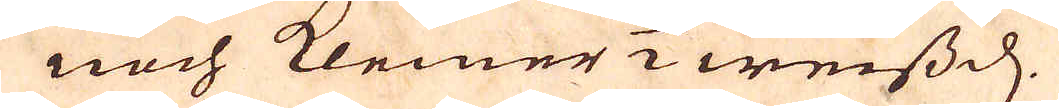noch Kleiner 1/2 weissd.
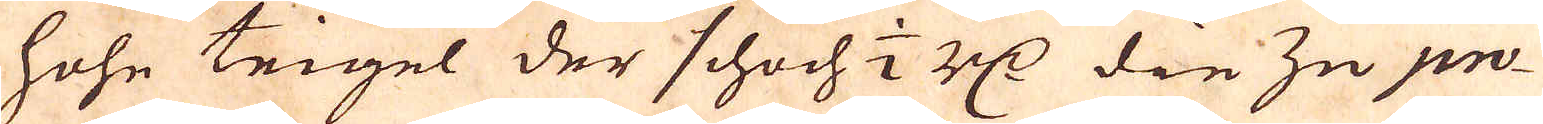Hohe teigel der schoch 1/2 r:dr die zu pro-
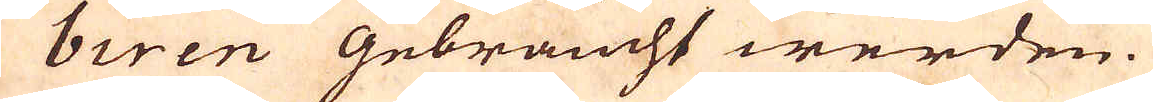biren Gebraucht werden.
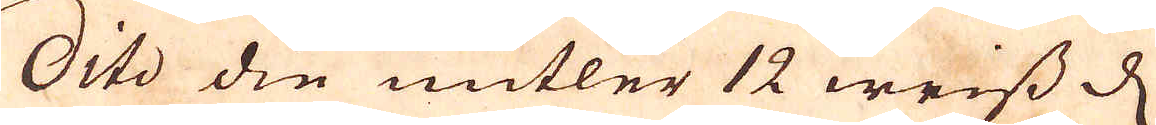Dito die mitler 12 weiss d.
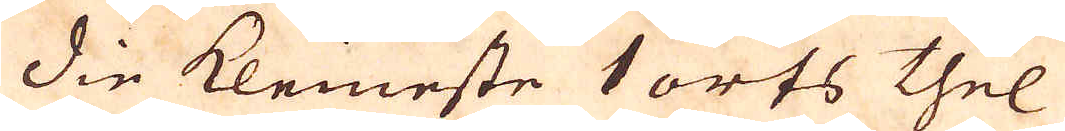Die Kleineste 1 orts thel
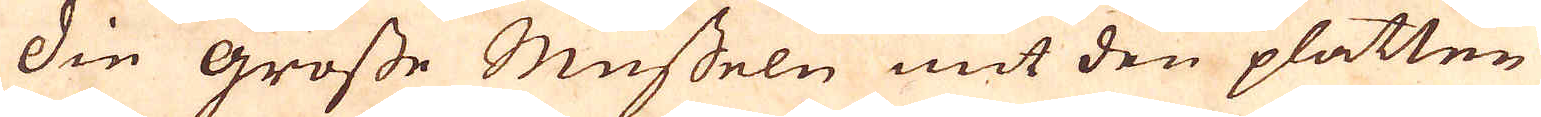Die grosse Musseln mit den platten
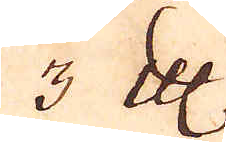3 Cologne Mark
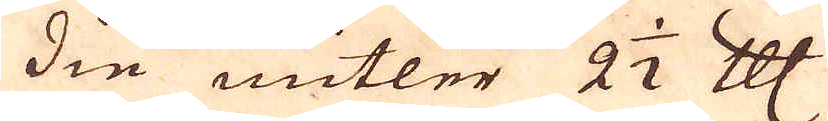Die mitler 2 1/2 Cologne Mark
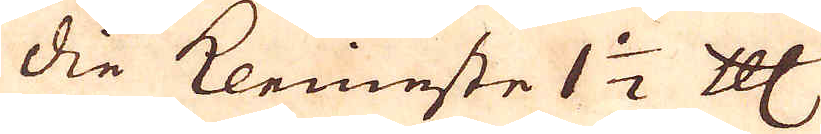Die Kleineste 1 1/2 Cologne Mark
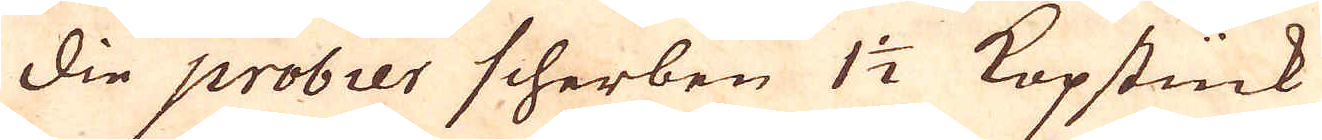Die probier scherben 1 1/2 Kopstück
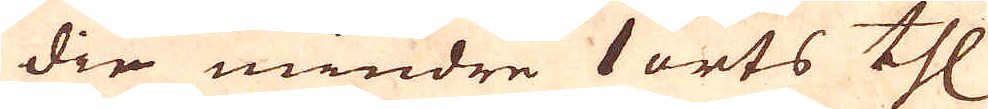Die mindre 1 erts thl
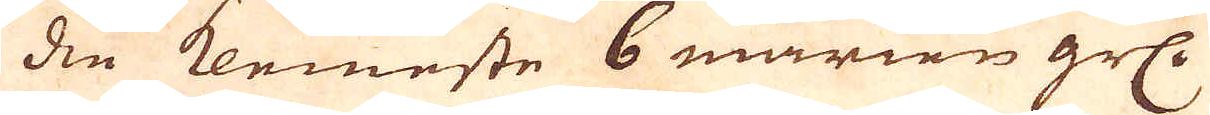Die Kleineste 6 marien grs.
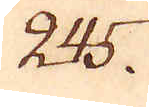245.
